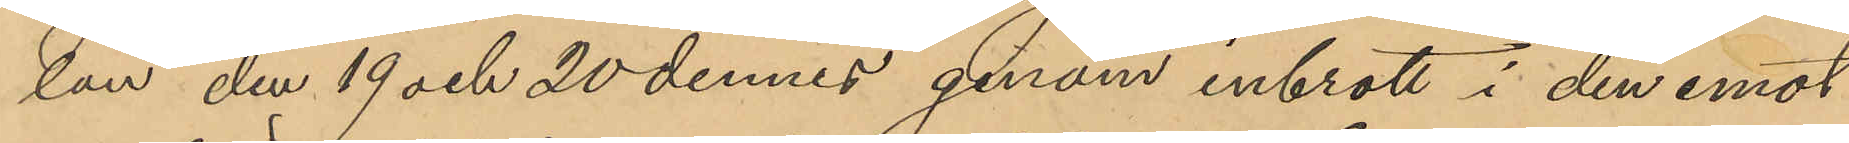lan den 19 och 20 dennes genom inbrott i den emot
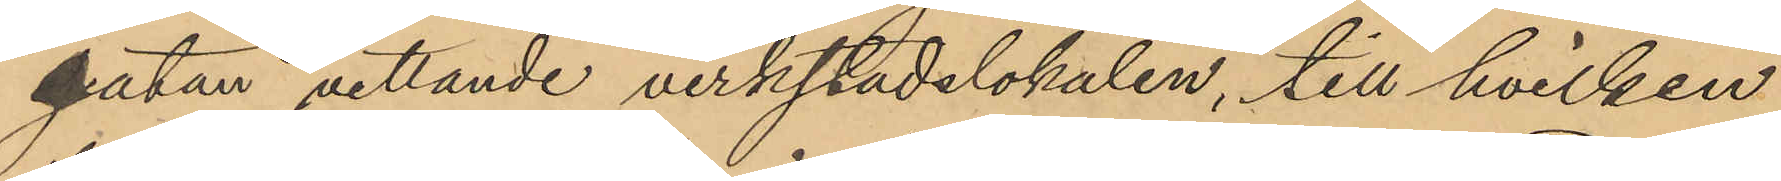gatan vettande verkstadslokalen, till hvilken
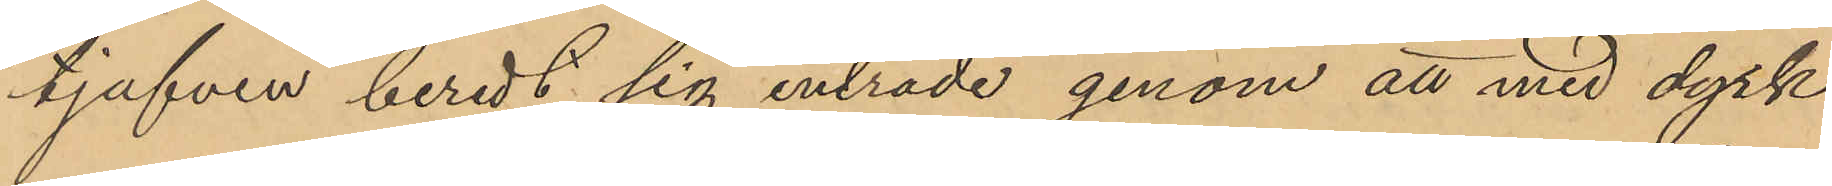tjufven beredt sig inträde genom att med dyrk
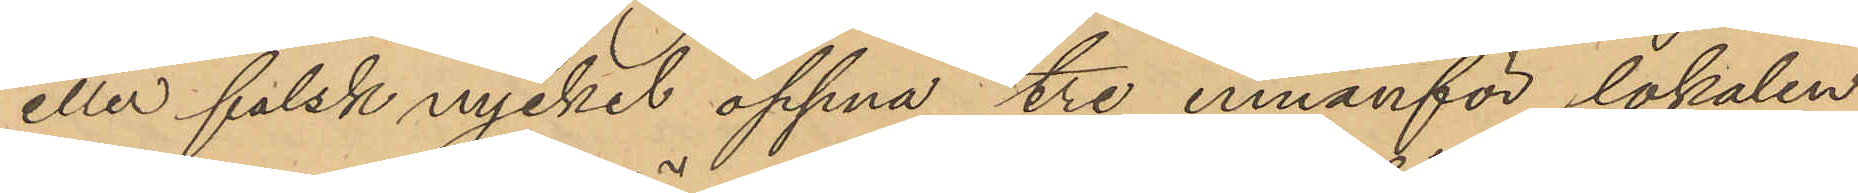eller falsk nyckel öppna tre innanför lokalen
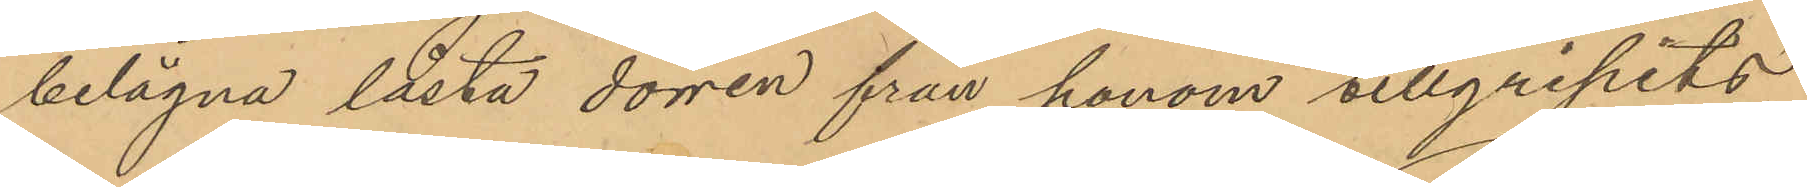belägna låsta dörren från honom tillgripits
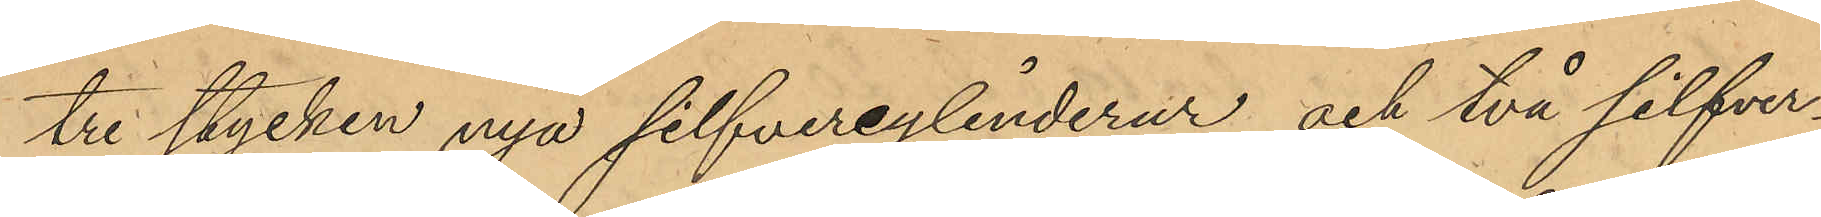tre stycken nya silfvercylinderur och två silfver¬
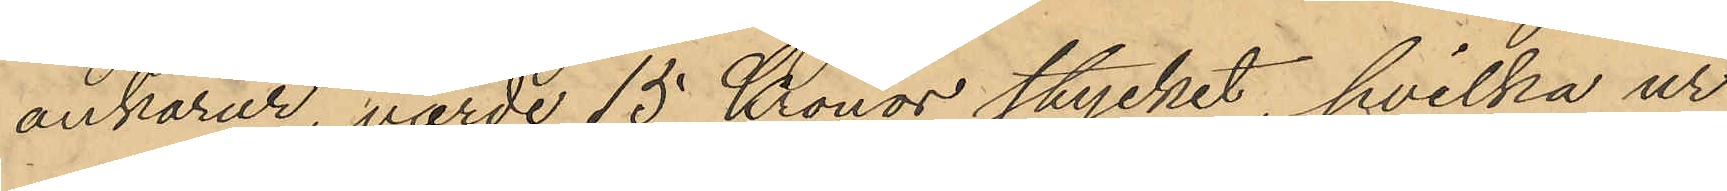ankarur, värde 15 Kronor stycket, hvilka ur
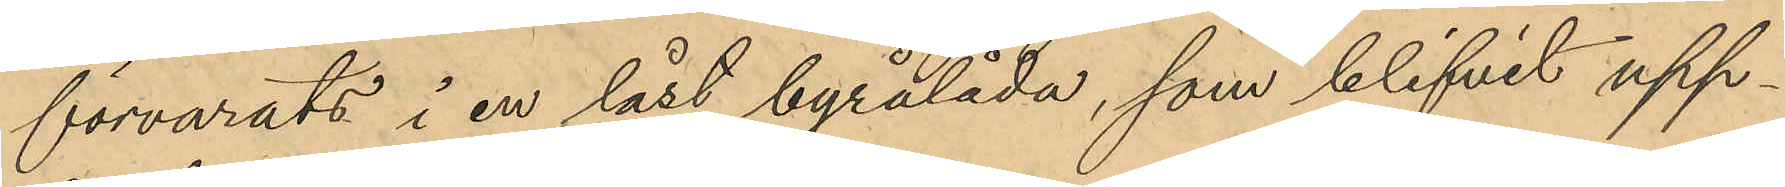förvarats i en låst byrålåda, som blifvit upp¬
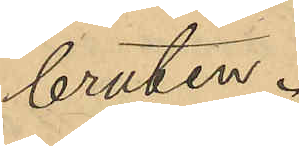bruten.
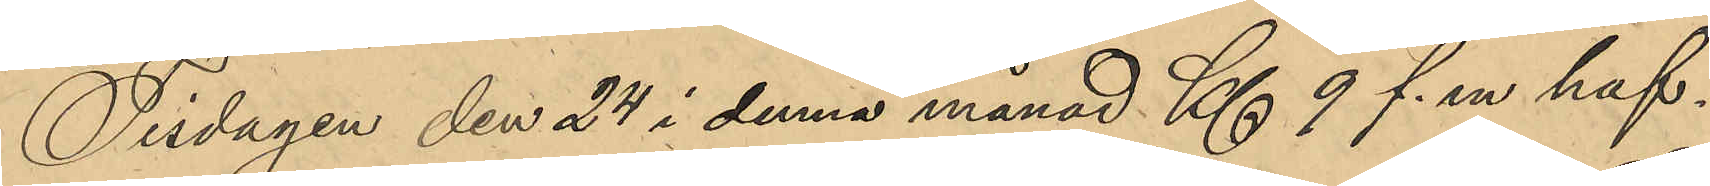Tisdagen den 24 i denna månad Kl. 9 f. m haf¬
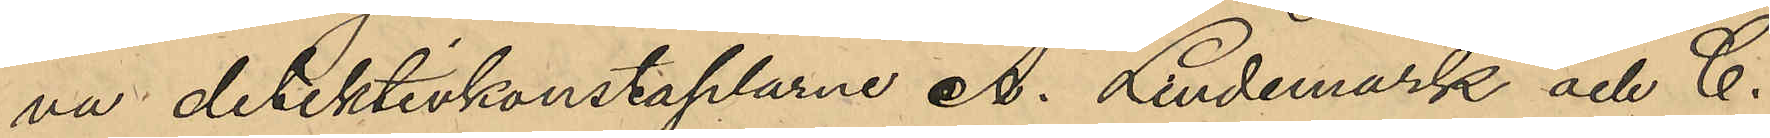va detektivkonstaplarne A. Lindemark och C.
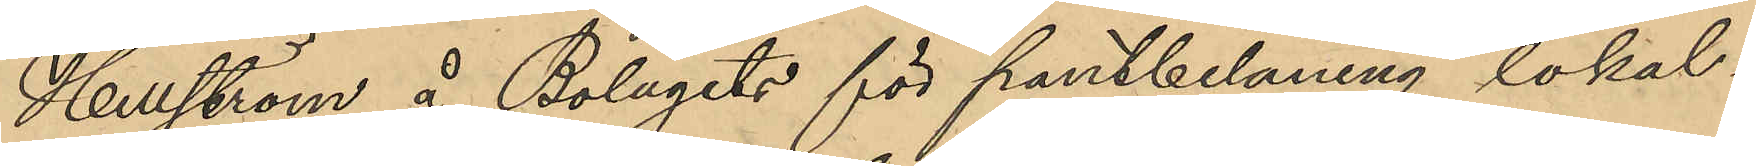Hellström å Bolagets för pantbelåning lokal i
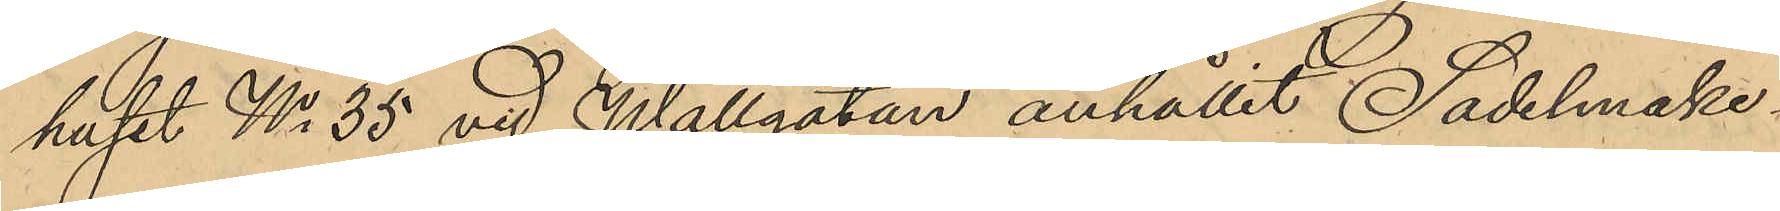huset No 35 vid Wallgatan anhållit Sadelmake¬
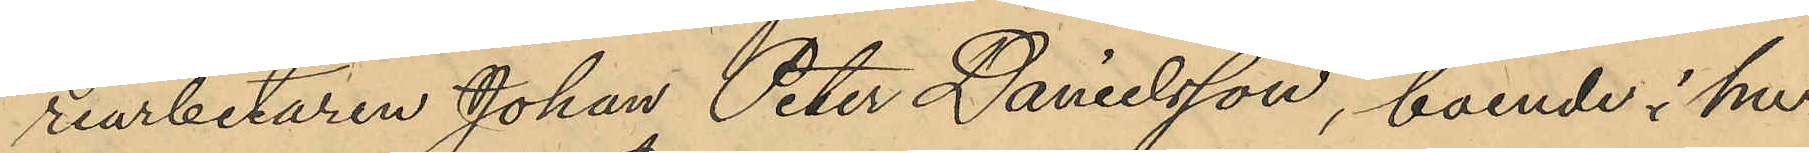riarbetaren Johan Peter Danielsson, boende i hu¬
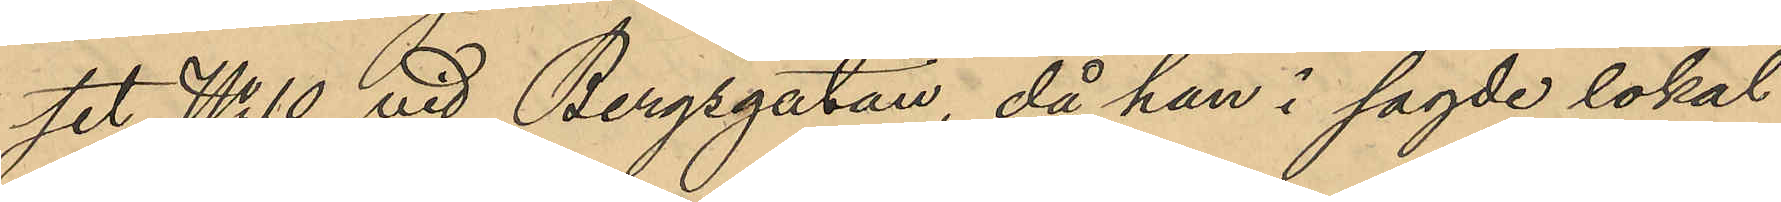set No 10 vid Bergsgatan, då han i sagde lokal
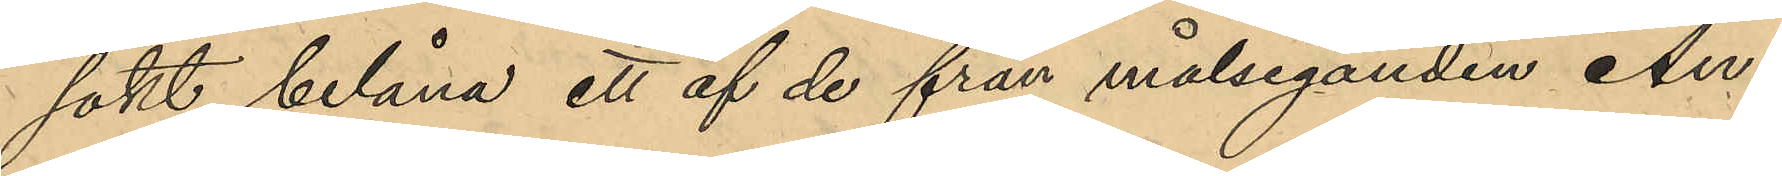sökt belåna ett af de från målseganden An¬
